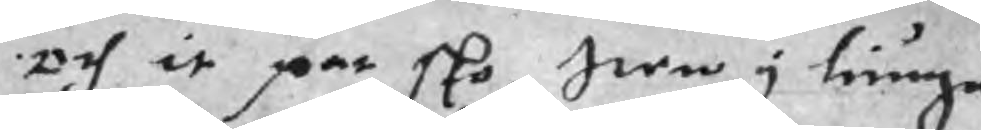och it par sko, Iten y tiuga
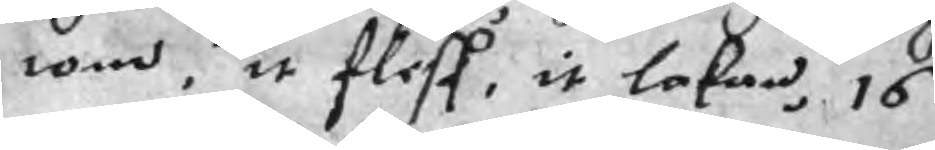tom, it flesk, it lakan, 16
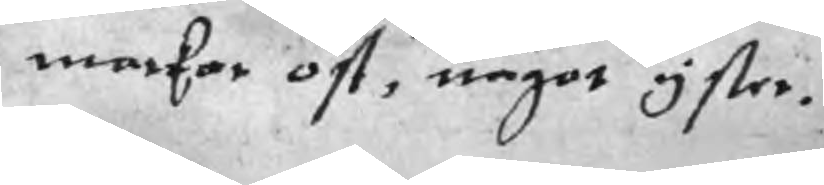markar ost, något yster.
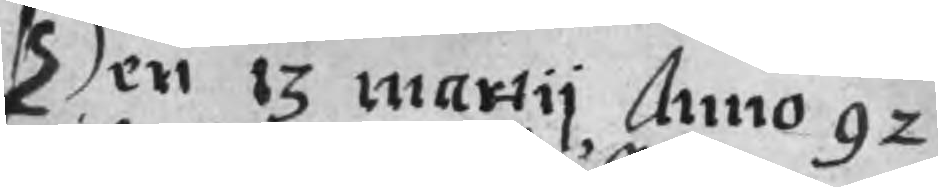Den 13 martij Anno 92
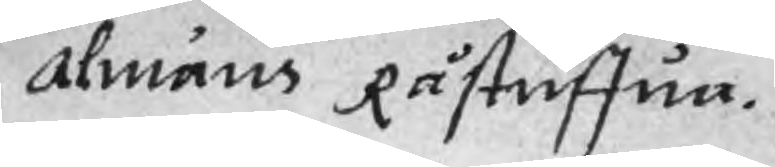almäns Råstuffua.
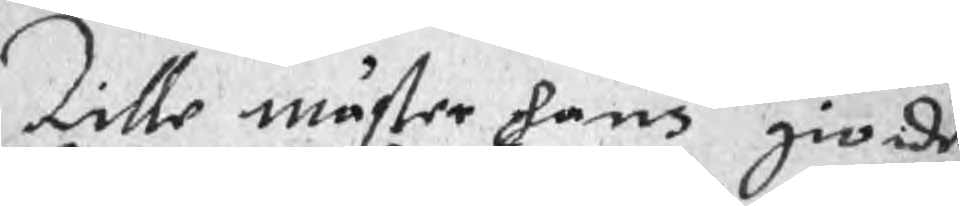Lille mäster hans gioide
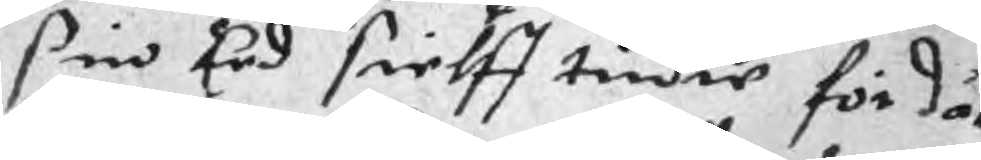sin Eed sielff tridre för då
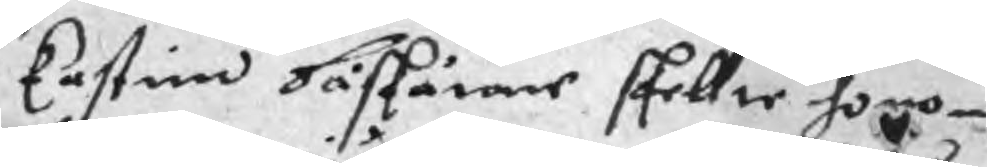Castin Båskäwne skellte honom
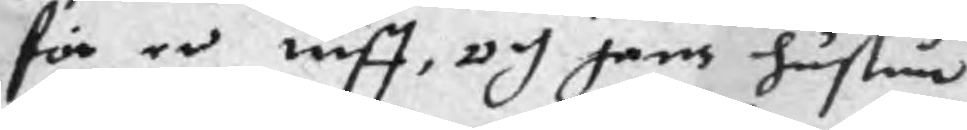för en tiuff, och hans hustru
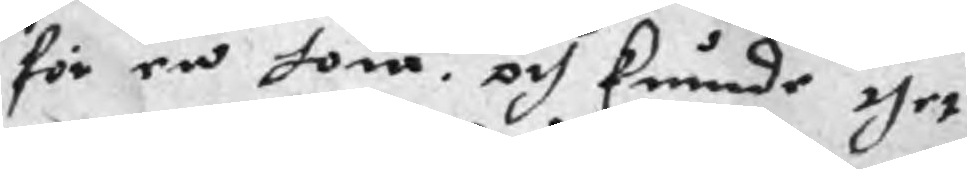för en hona, och kunde thet
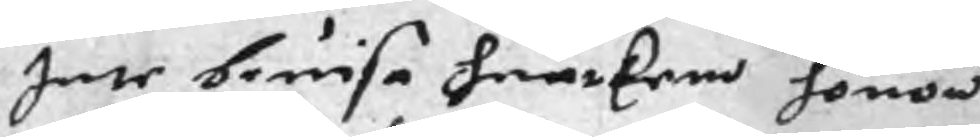Inte bewisa huarkem honom
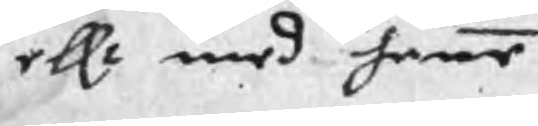ellr med henne
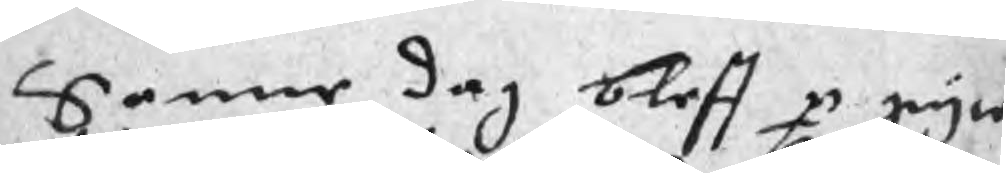Samme dag bleff p gyte
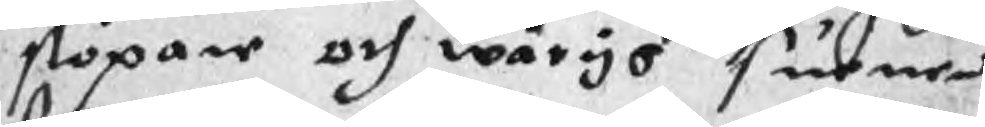stöpare och wäryo suenen
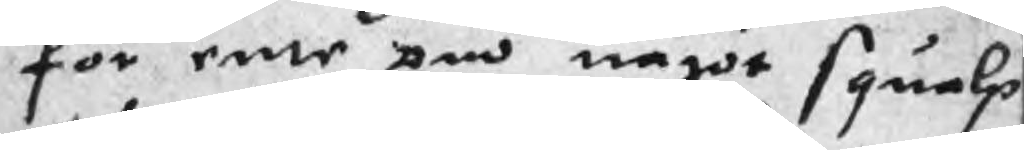för ente om något squalp
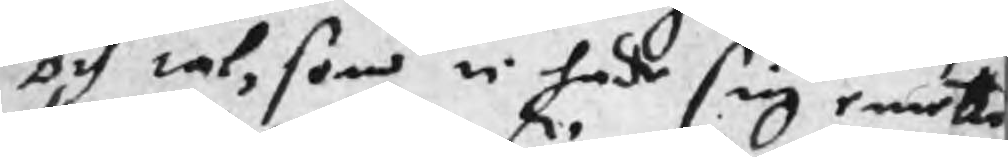och tal, som ti hade sig emotte
